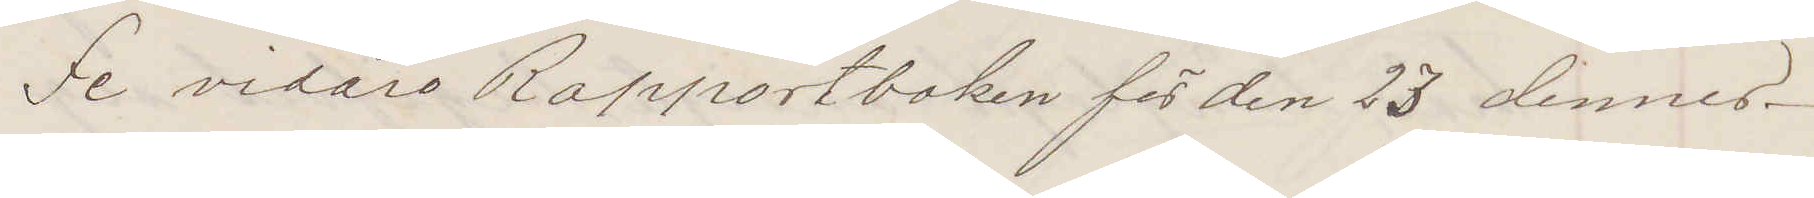Se vidare Rapportboken för den 23 dennes.
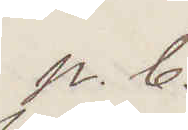p. b.
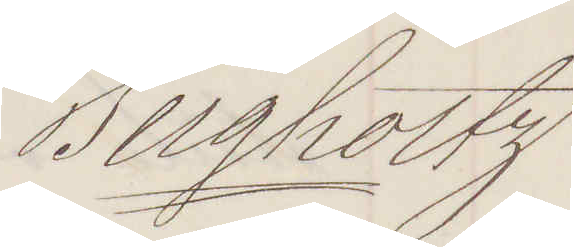Bergholtz
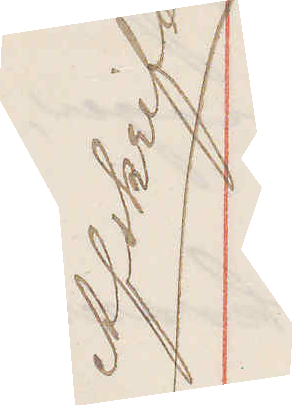Afskrift
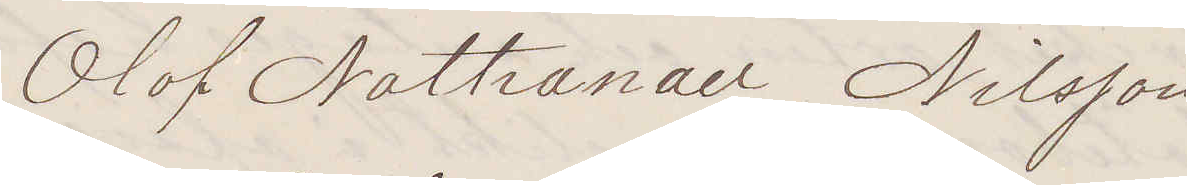Olof Nathanael Nilsson
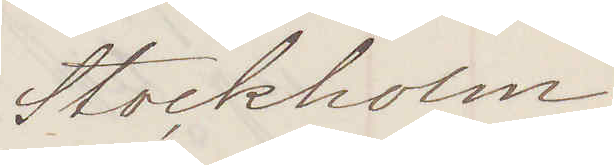Stockholm
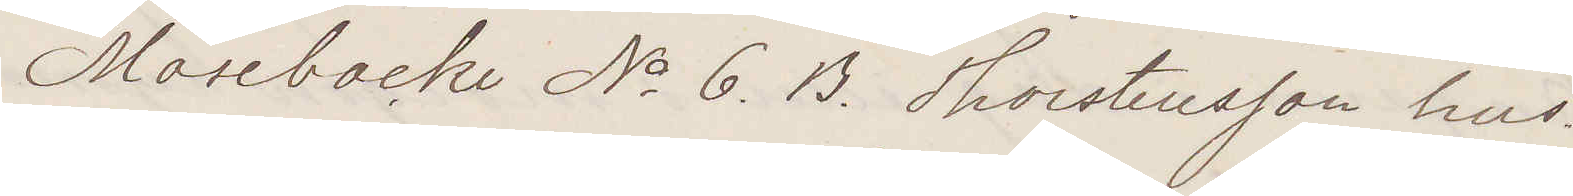Mosebacke No 6. B. Thorstensson hus
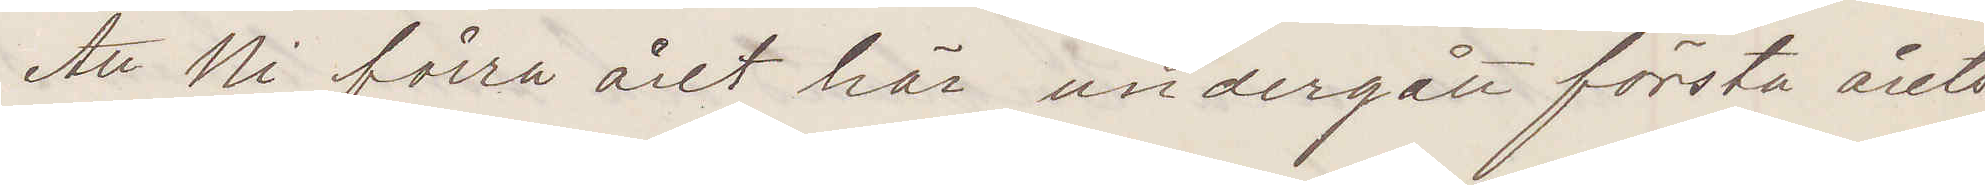Att Ni förra året här undergått första årets
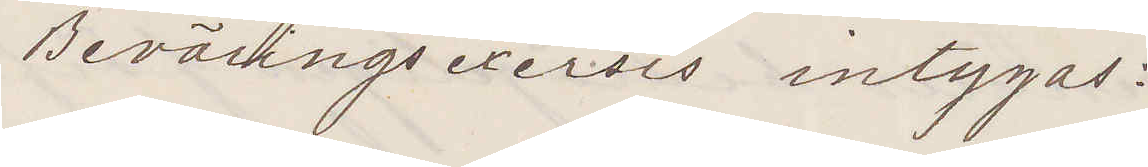Beväringsexercis intygas:
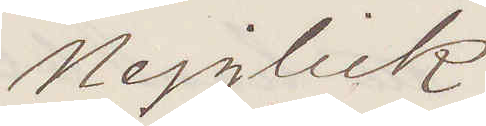Nejglick
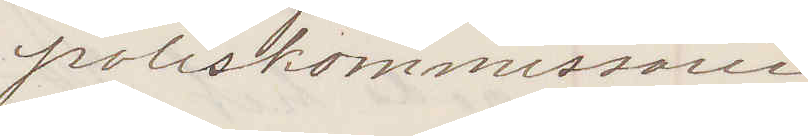Poliskommissarie
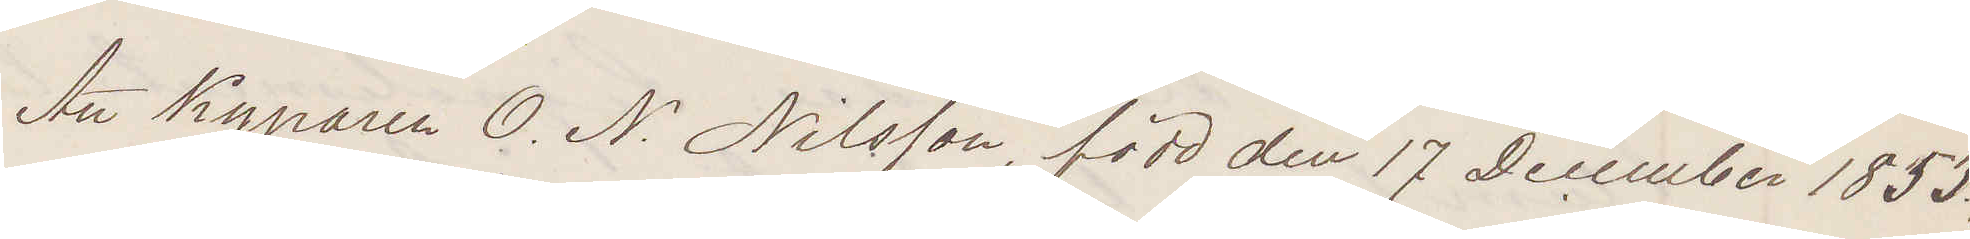Att Kyparen O. N. Nilsson, född den 17 December 1853,
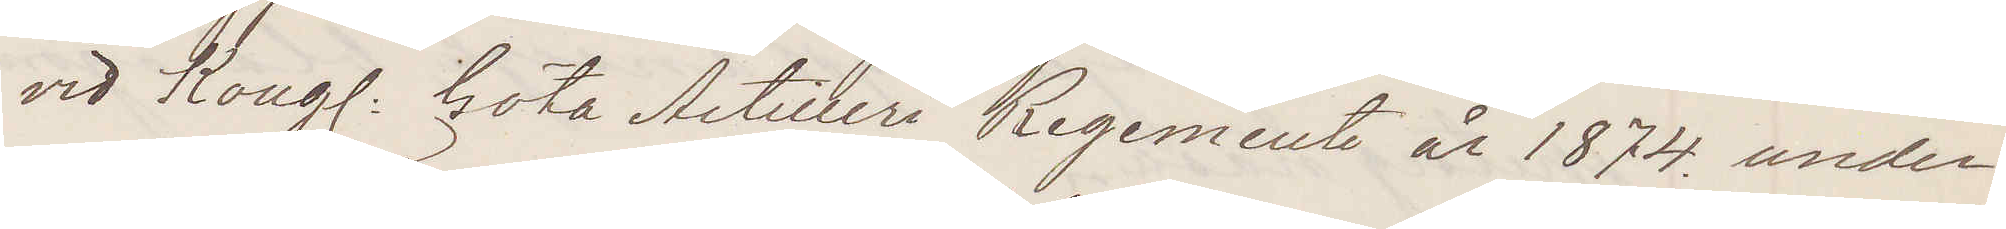vid Kong: Göta Artilleri Regemente år 1874 under¬
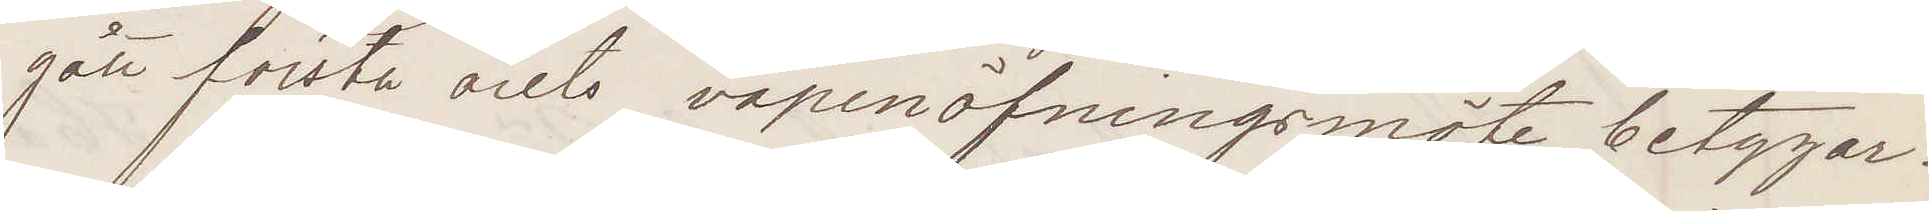gått första årets vapenöfningsmöte, betygar
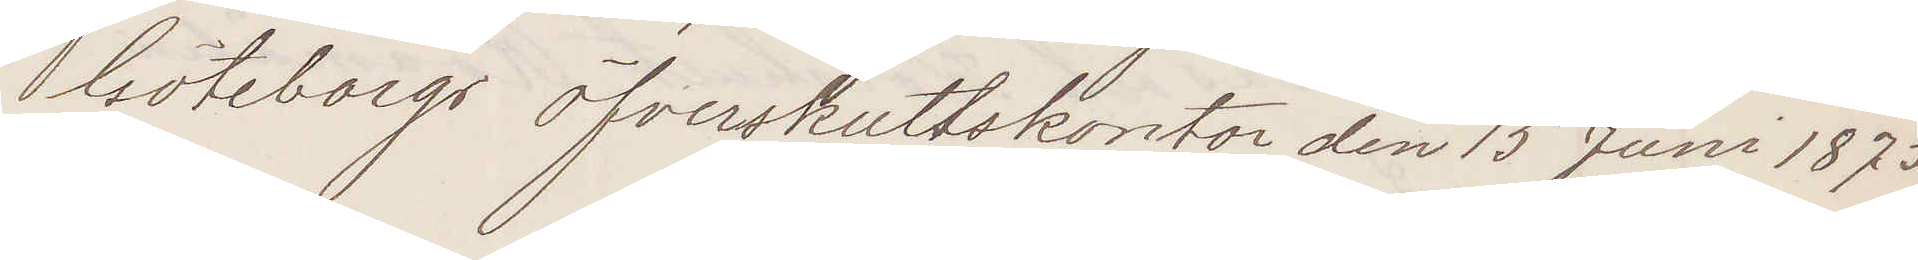Göteborgs öfverskuttskontor den 15 Juni 1875
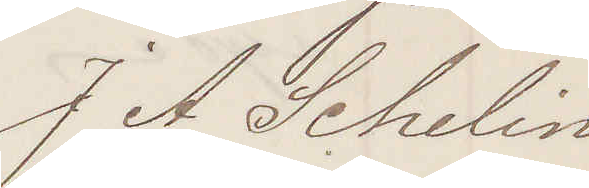J A Schelin
